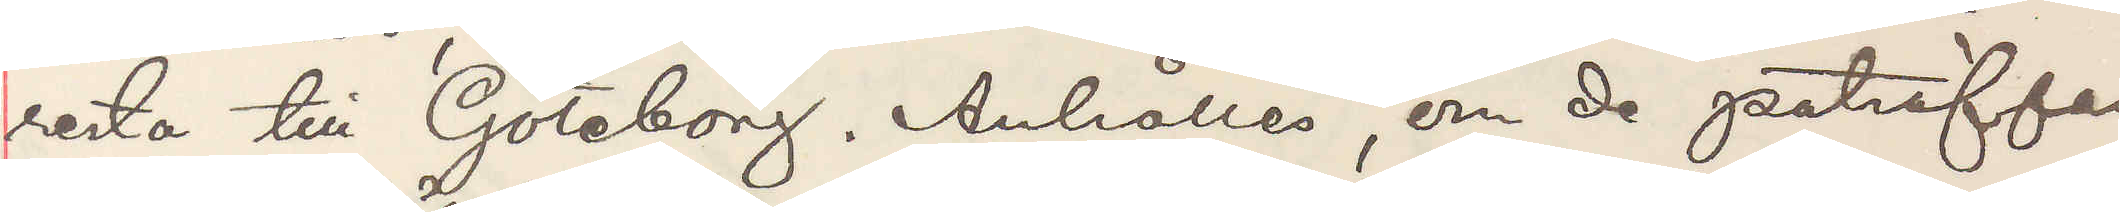resta till Göteborg. Anhålles, om de påträffas,
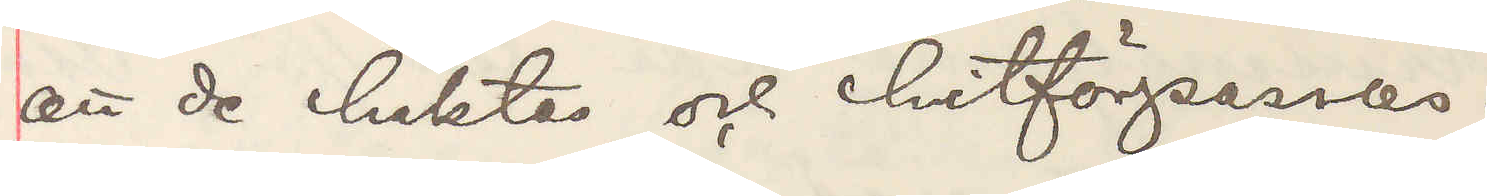att de häktas och hitförpassas.
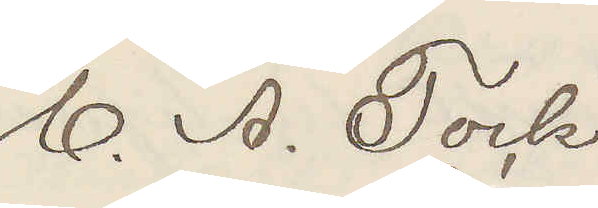C. A. Tock
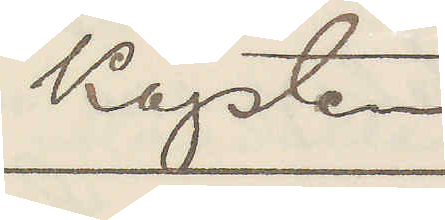Kapten
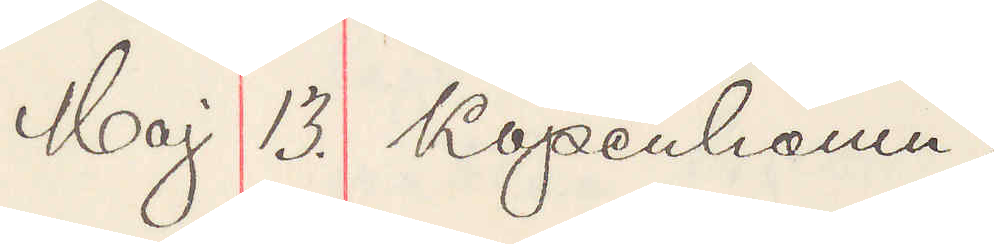Maj 13. Köpenhamn.
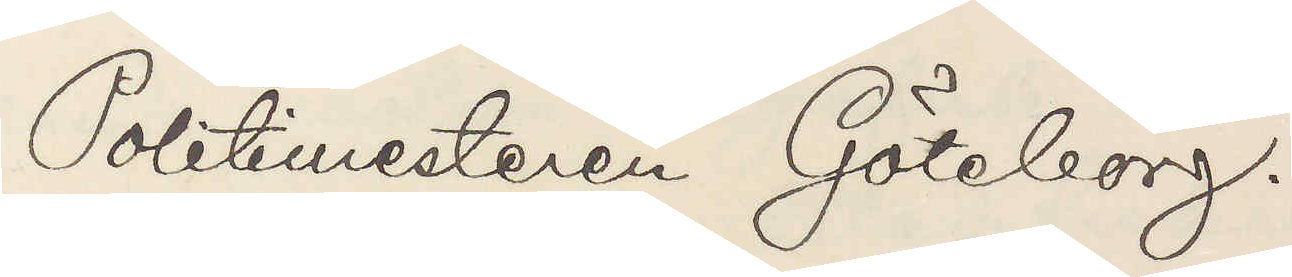Politimesteren Göteborg.
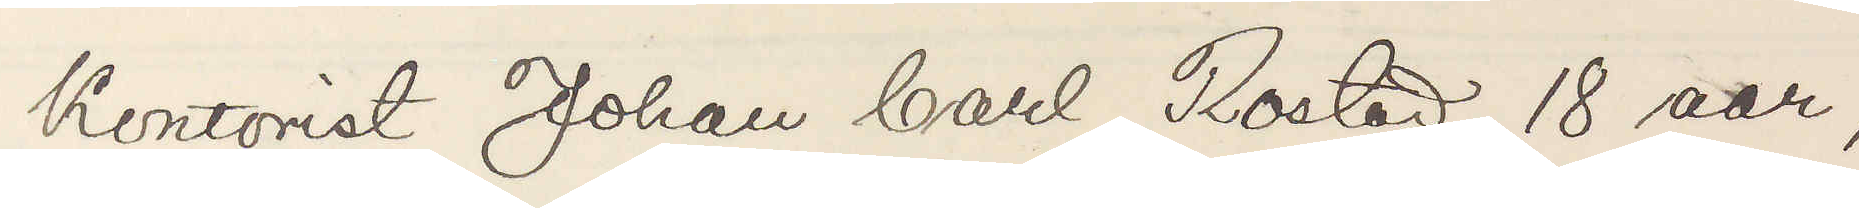Kontorist Johan Carl Rostad, 18 aar,
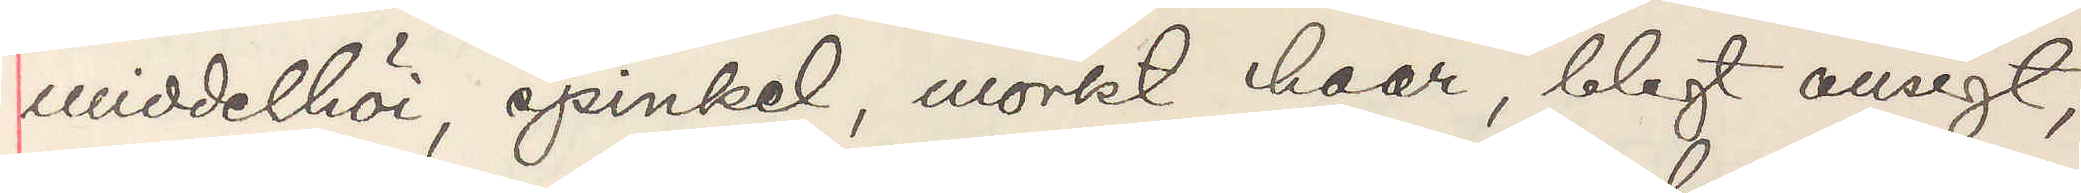middelhöi, spinkel, mörkt haar, blegt ansigt,
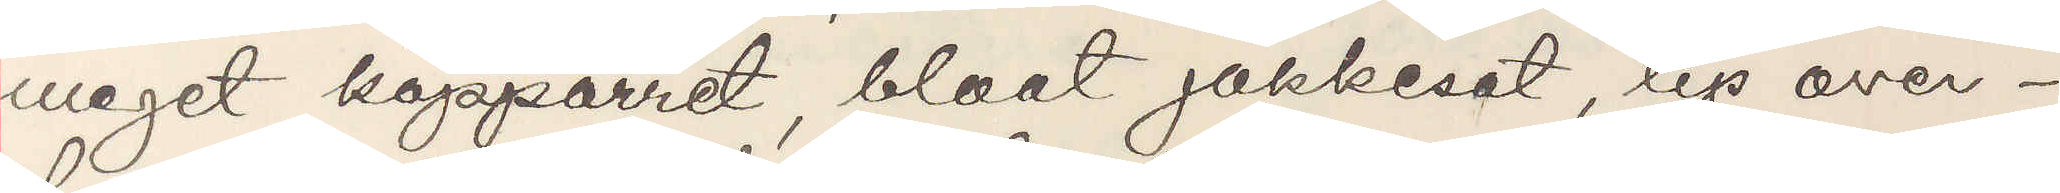meget kopparret, blaat jakkesat, lys over¬
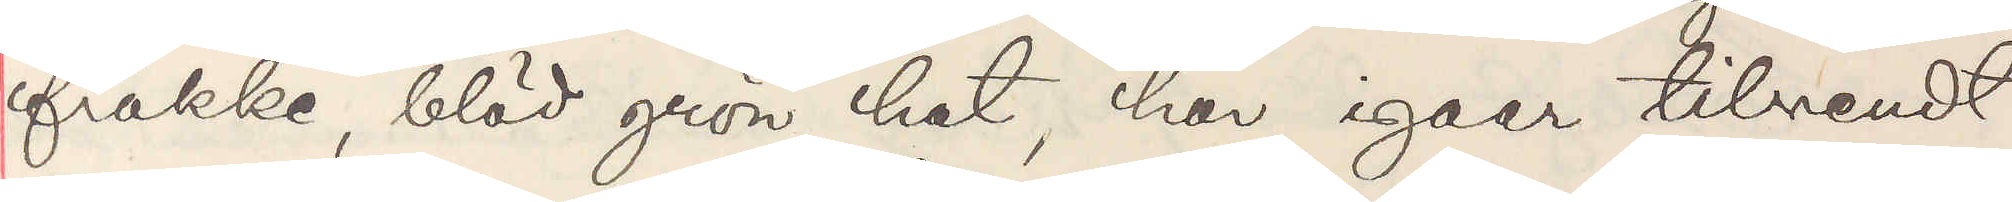frakke, blöd grön hat, har igaar tilvendt
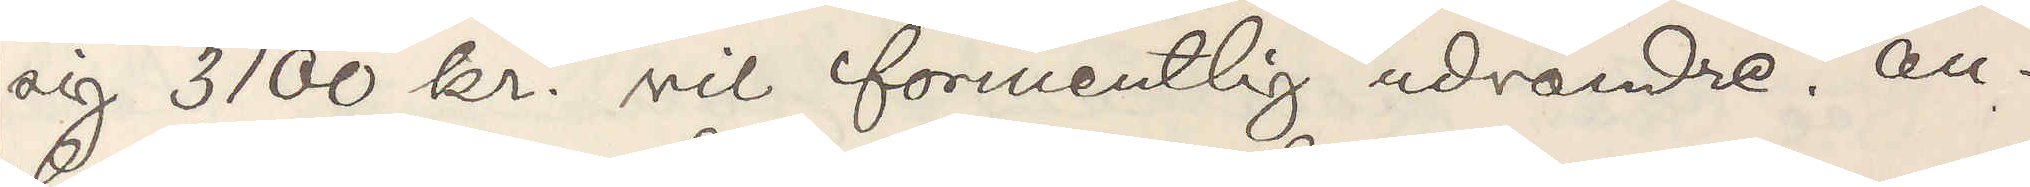sig 3100 kr. vil formentlig udvandre. An¬
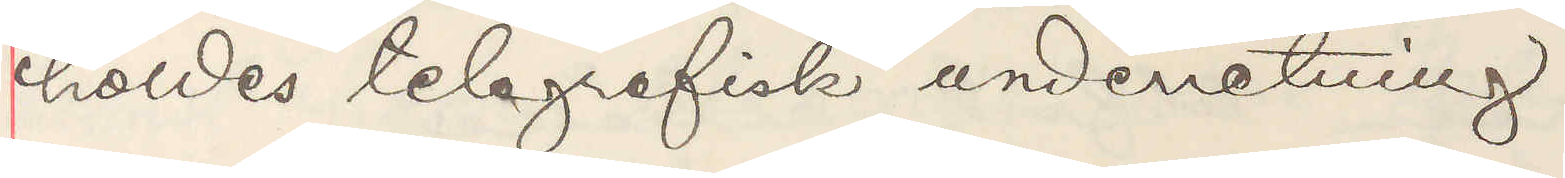holdes telegrafisk underretning.
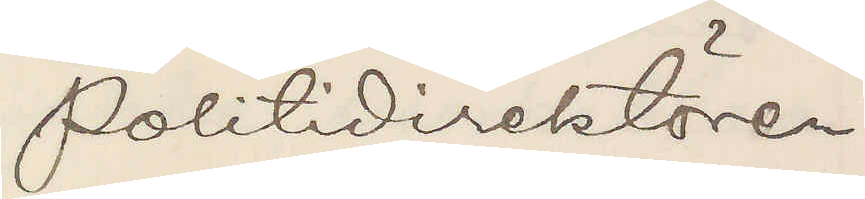Politidirektören
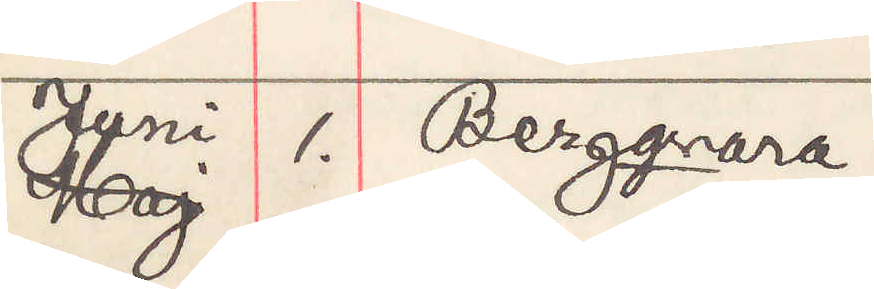Juni 1. Bergqvara.
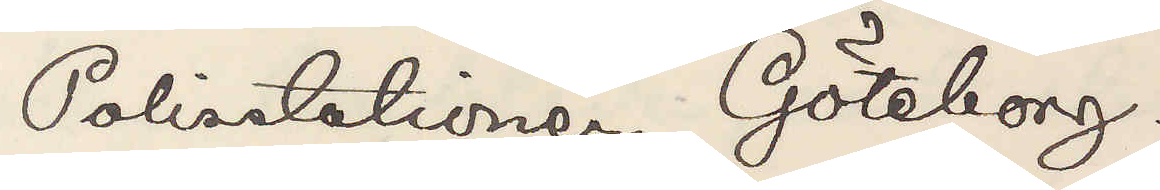Polisstationen Göteborg.
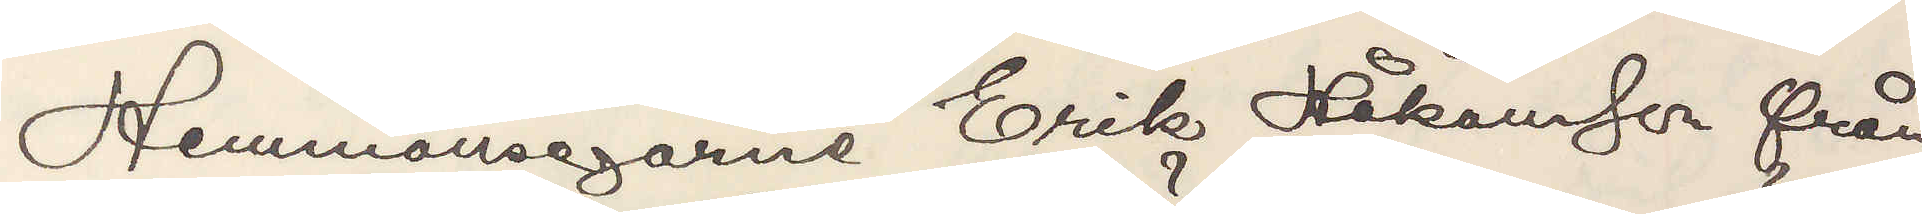Hemmanegarne Erik Håkansson från
